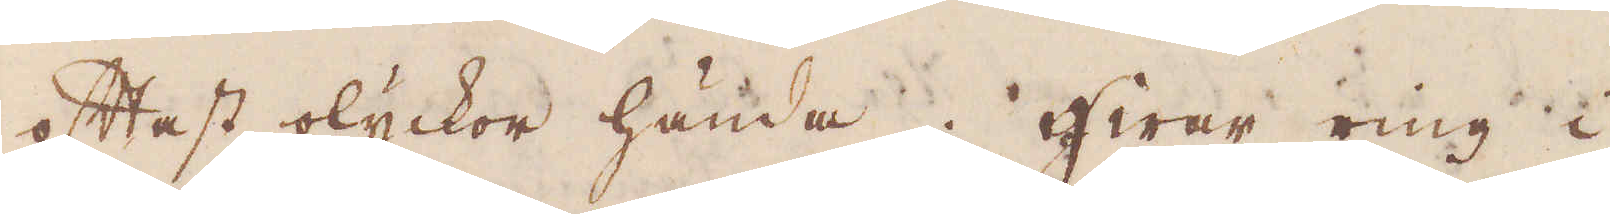oftast olyckor hända. Hwar ring i
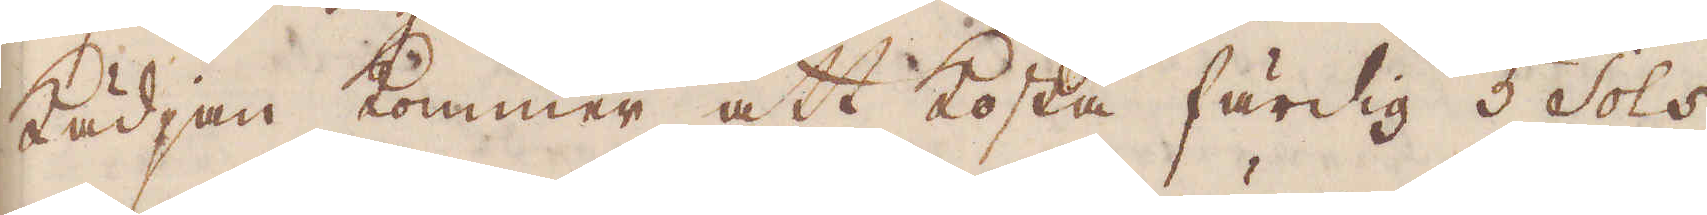kädjan kommer att kosta färdig 5 sols
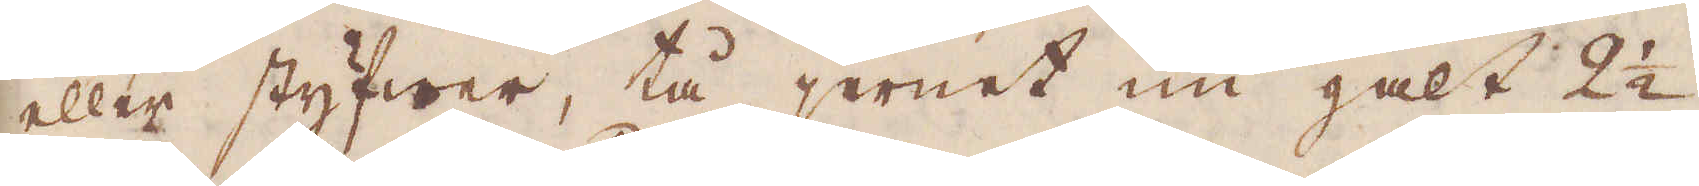eller styfwer, tå jernet nu galt 2 1/2
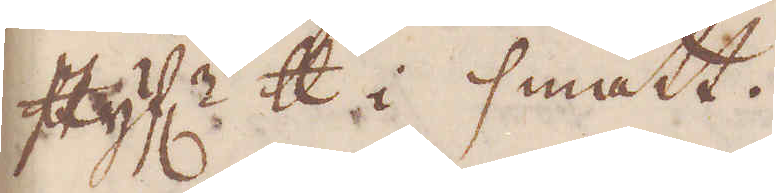styf:r skålpund i smått.
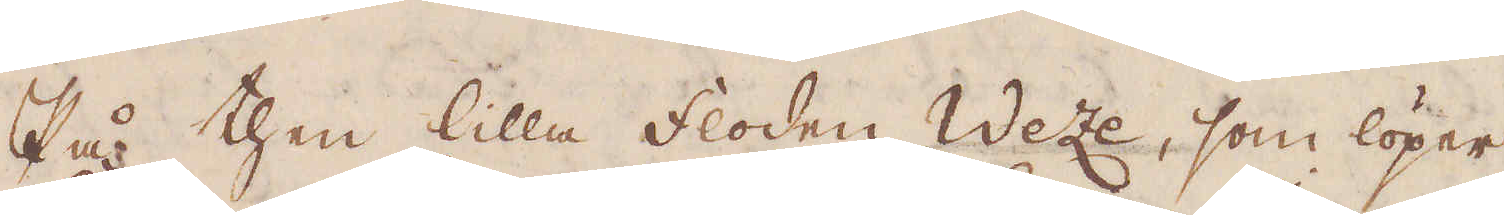På then lilla floden Weze, som löper
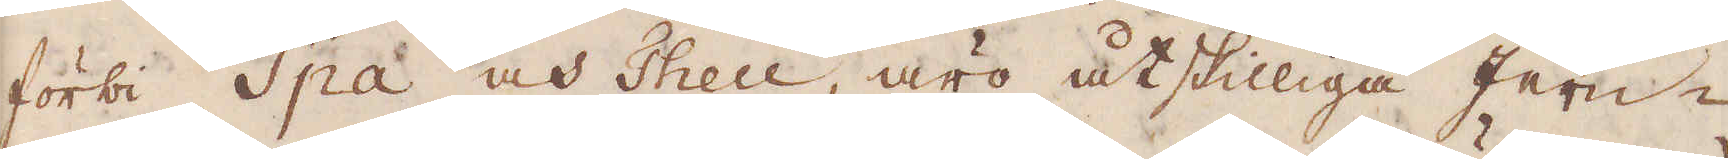förbi Spa och Theu, äro åtskilliga jern-
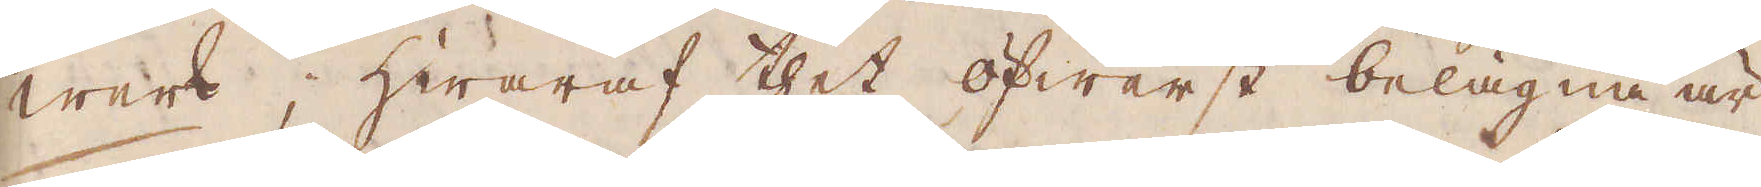werk, hwaraf thet öfwerst belägna är
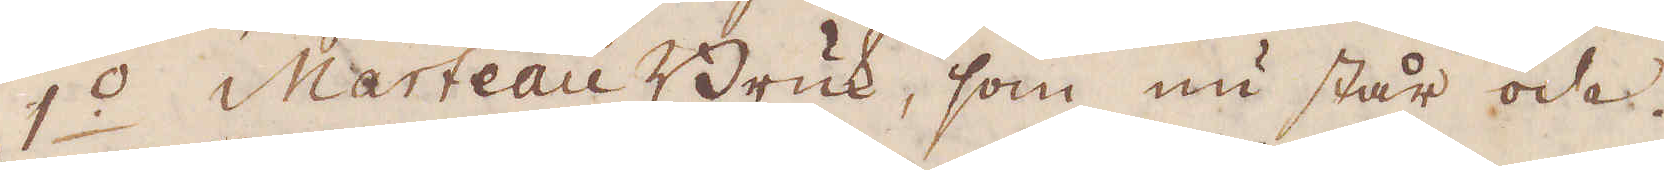1:o Marteau Bruk, som nu står öde.
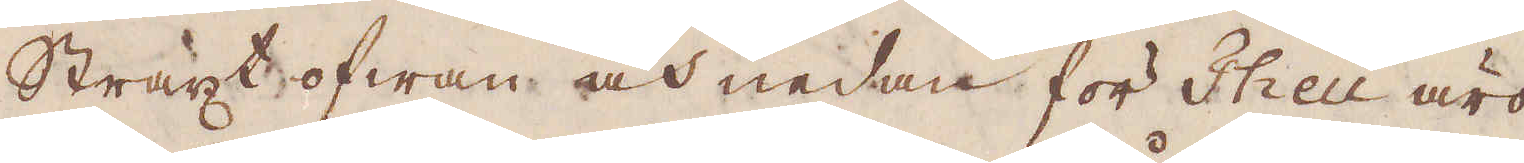Straxt ofwan och nedan för Theu äro
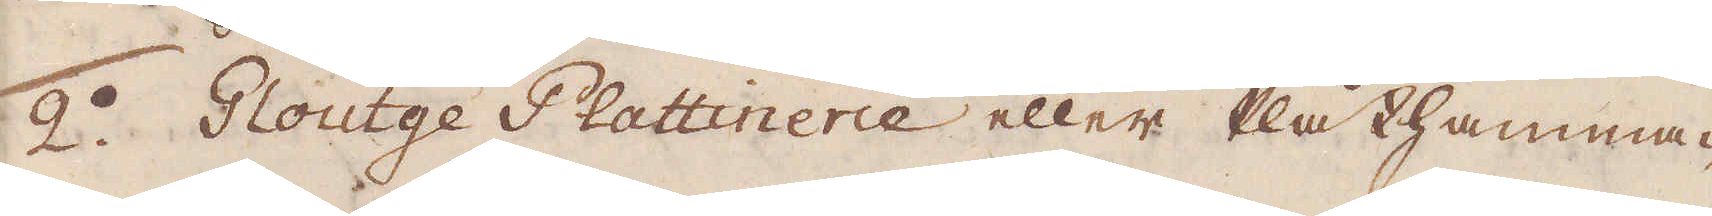2:o Gloutge Plattinerie eller Plåthamma-
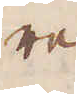re.
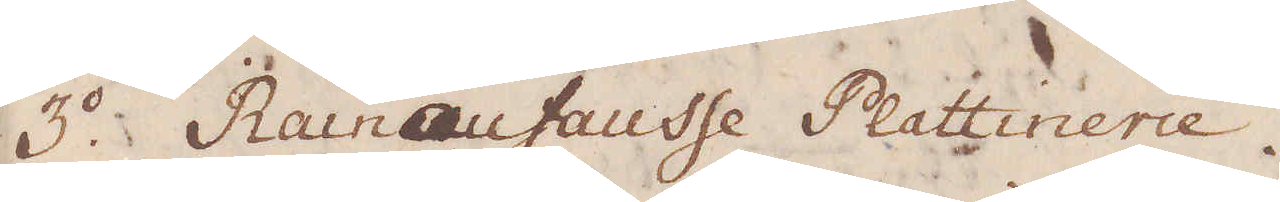3:o Rain au fausse Plattinerie.
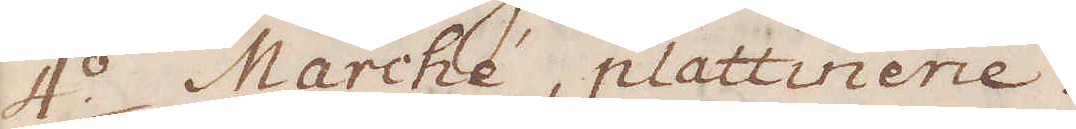4:o Marche, plattinerie.
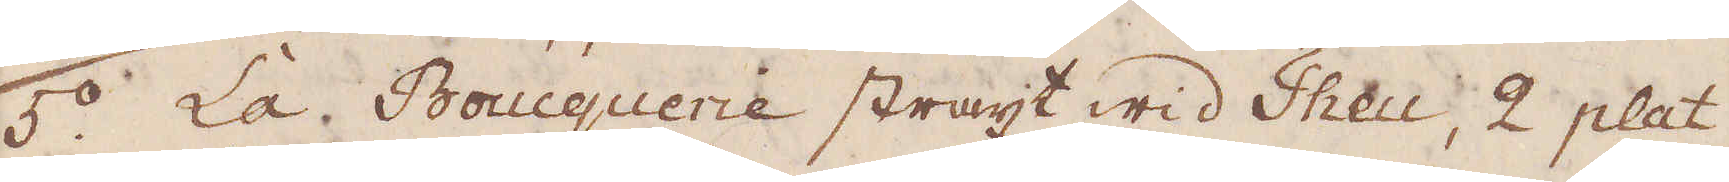5:o La Boucguerie straxt wid Theu, 2 plat-
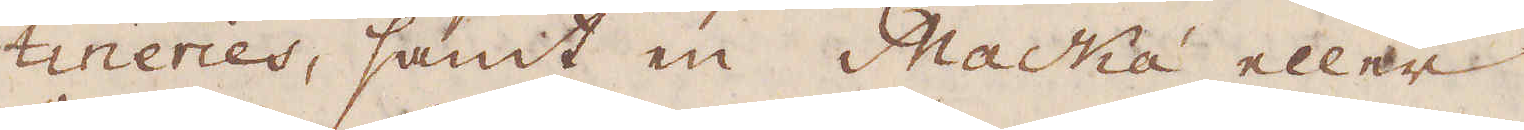tineries, samt en Macká eller
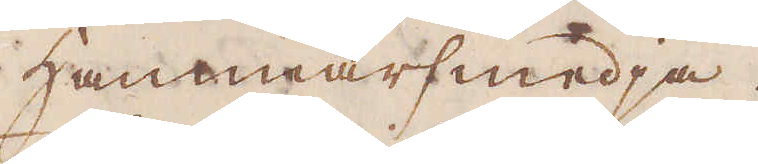hammarsmedja.
